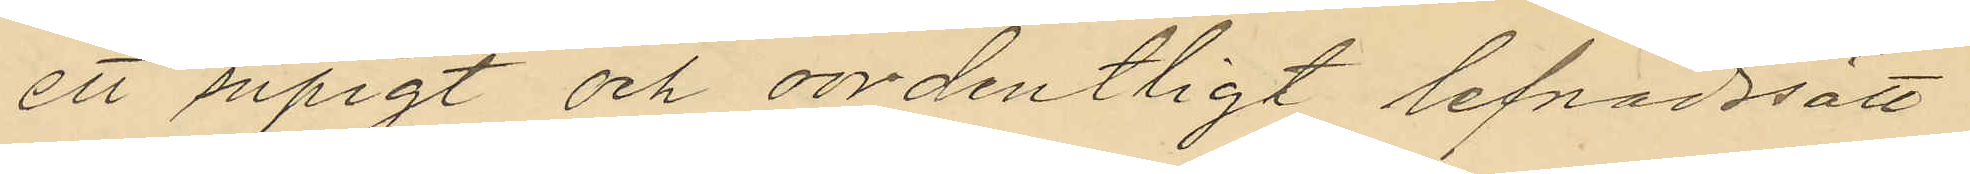ett supigt och oordentligt lefnadssätt
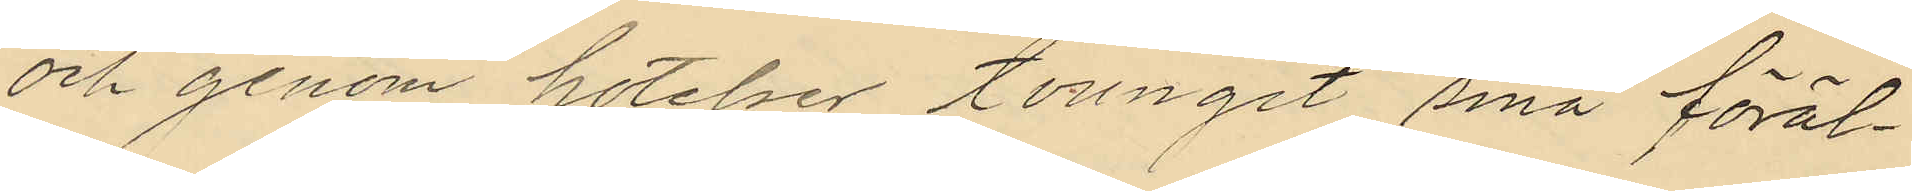och genom hotelser tvungit sina föräl¬
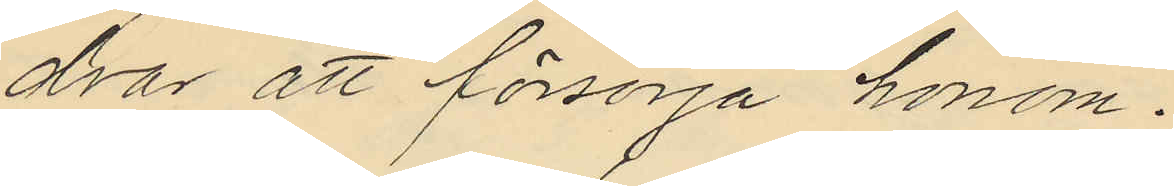drar att försörja honom.
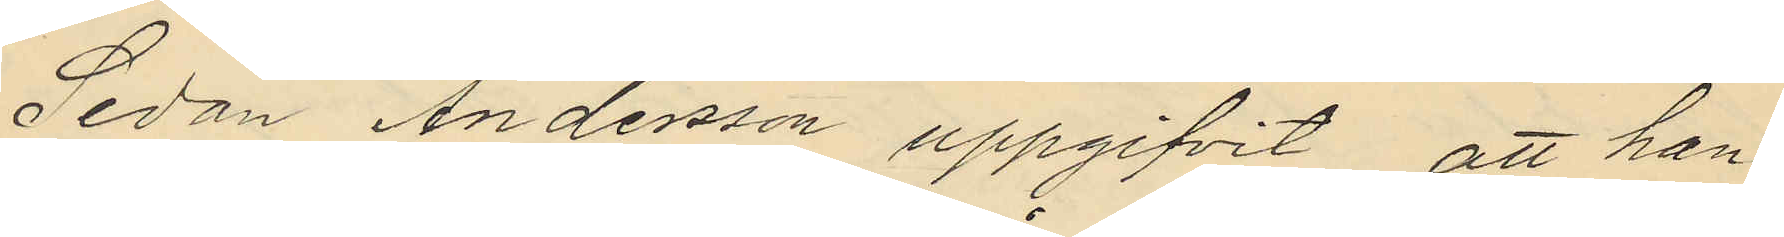Sedan Andersson uppgifvit att han
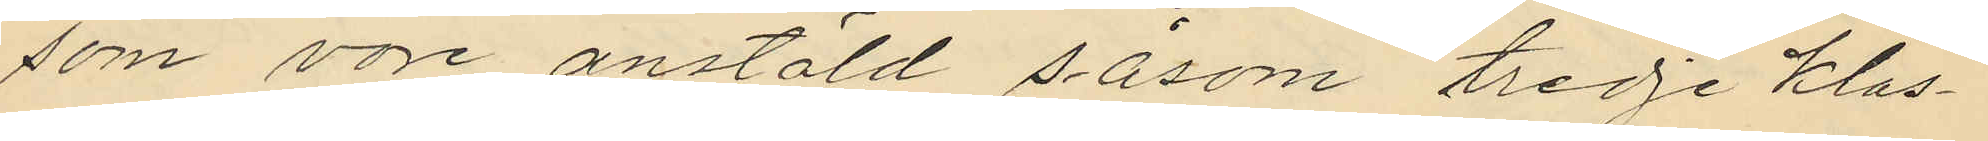som vore anstäld såsom tredje klas¬
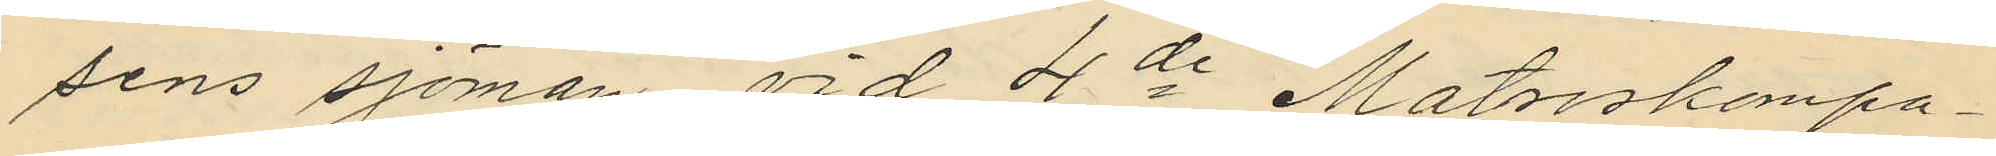sens sjöman vid 4de Matroskompa¬
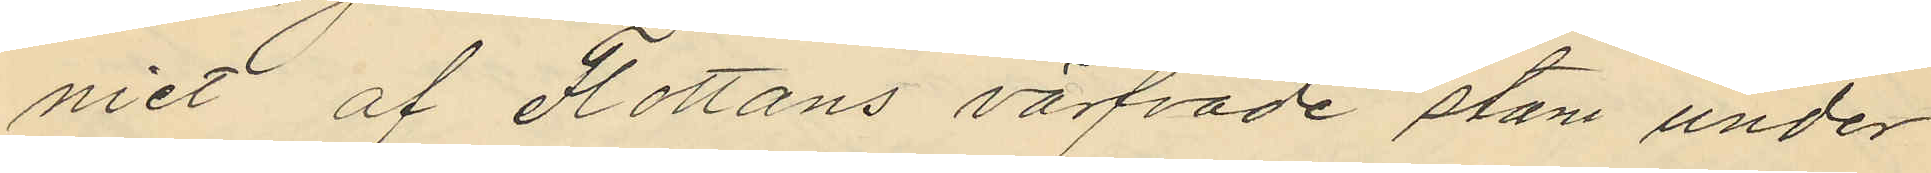niet af Flottans värfvade stam under
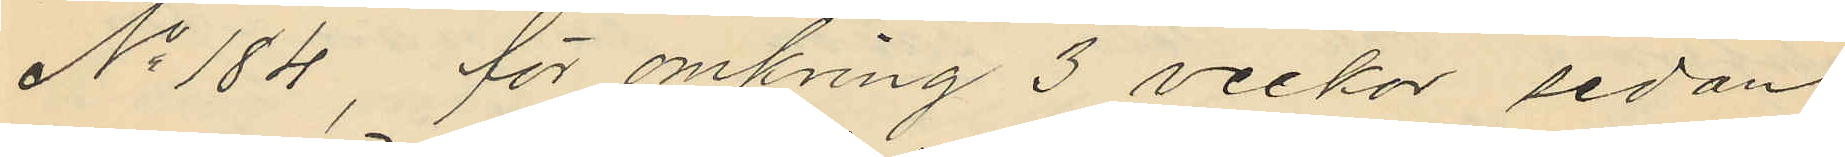No 184, för omkring 3 veckor sedan
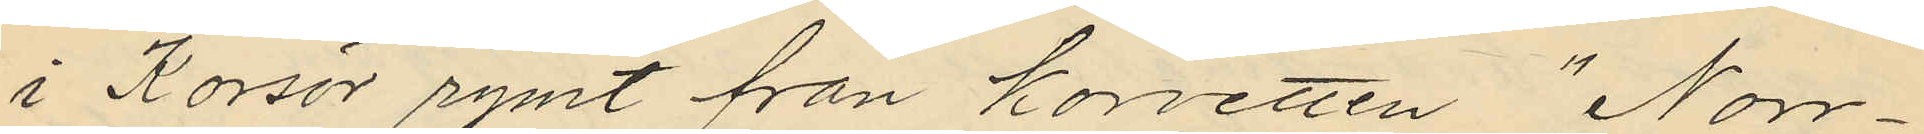i Korsör rymt från korvetten "Norr¬
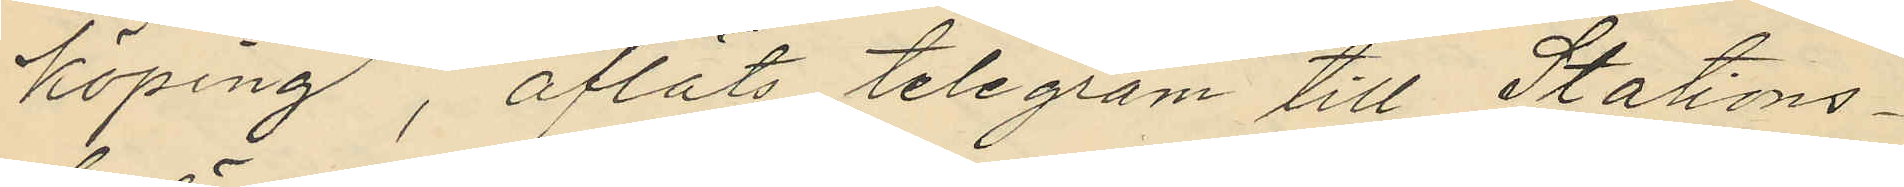köping", afläts telegram till Stations¬
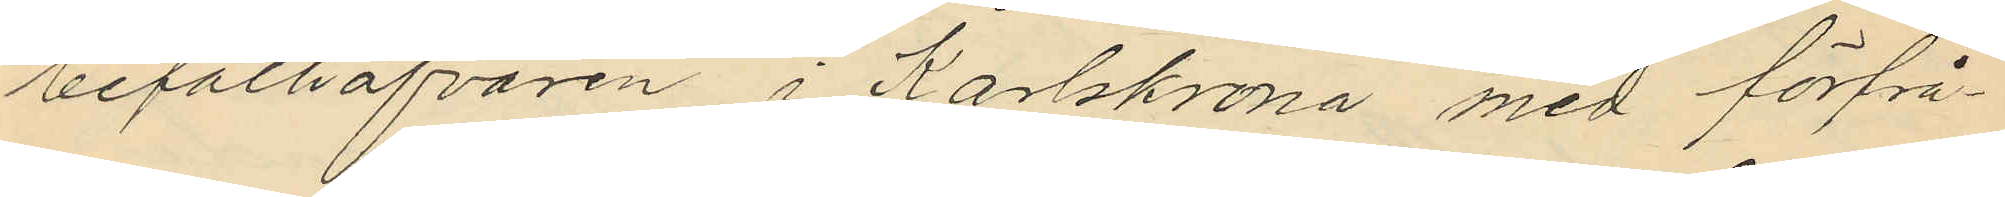befälhafvaren i Karlskrona med förfrå¬
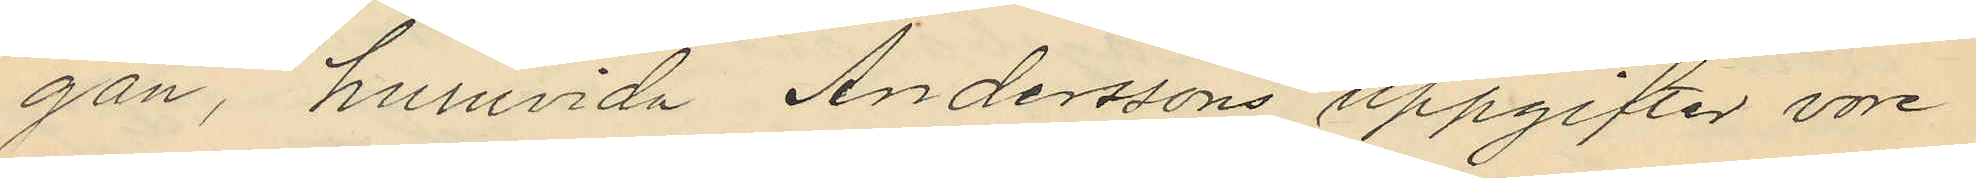gan, huruvida Anderssons uppgifter vore
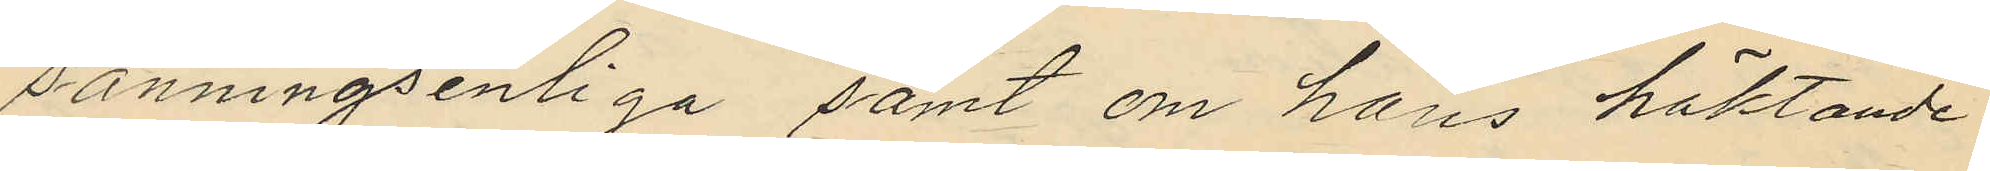sanningsenliga samt om hans häktande
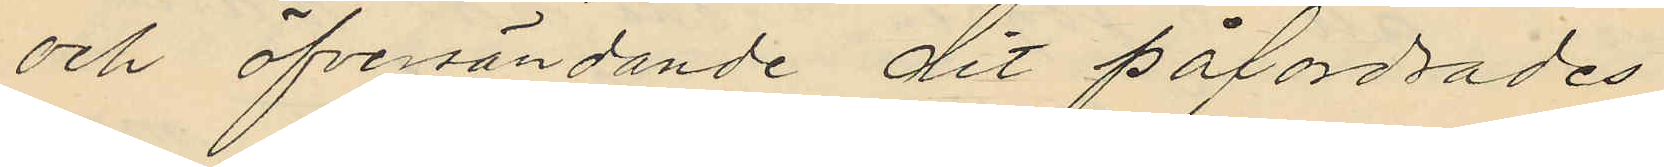och öfversändande dit påfordrades
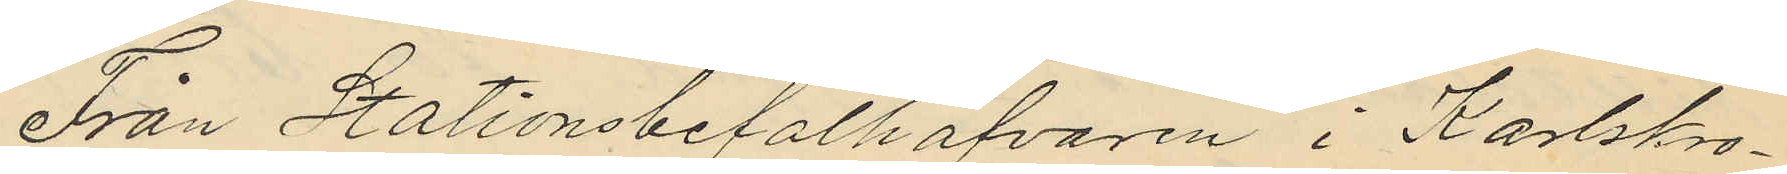Från Stationsbefälhafvaren i Karlskro¬
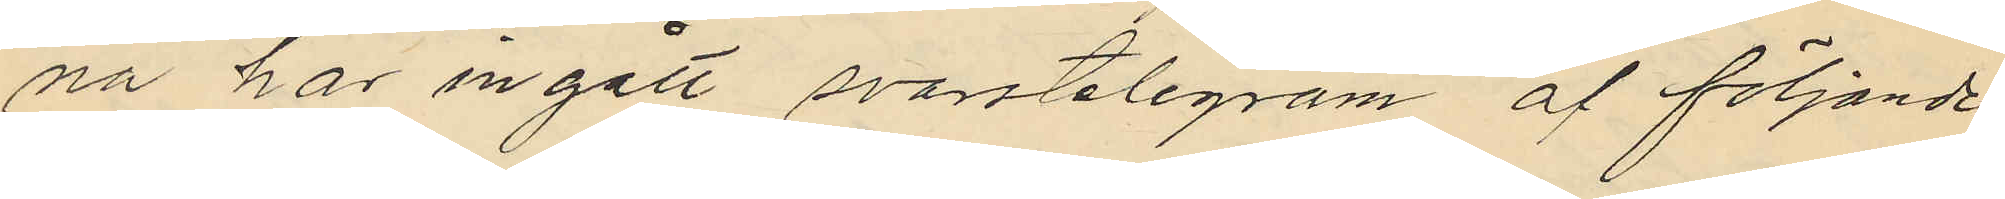na har ingått svarstelegram af följande
